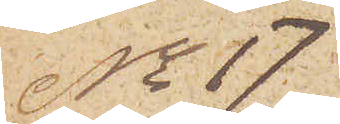No 17
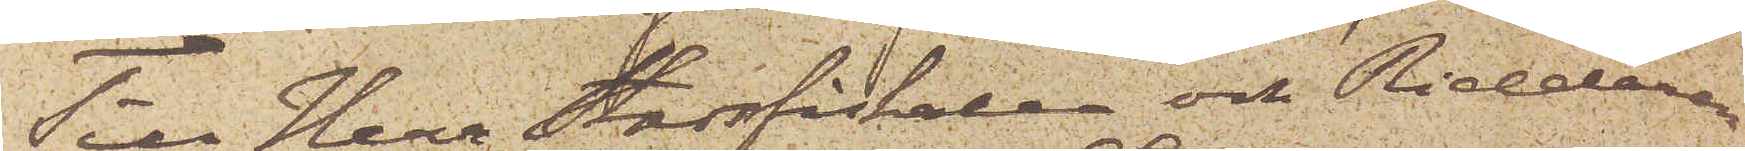Till Herr Stadsfiskalen och Riddaren
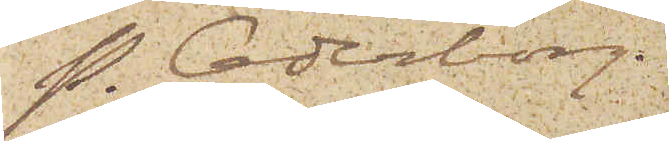P. Cederborg.
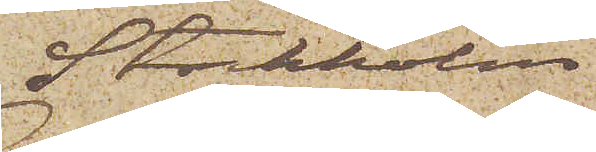Stockholm
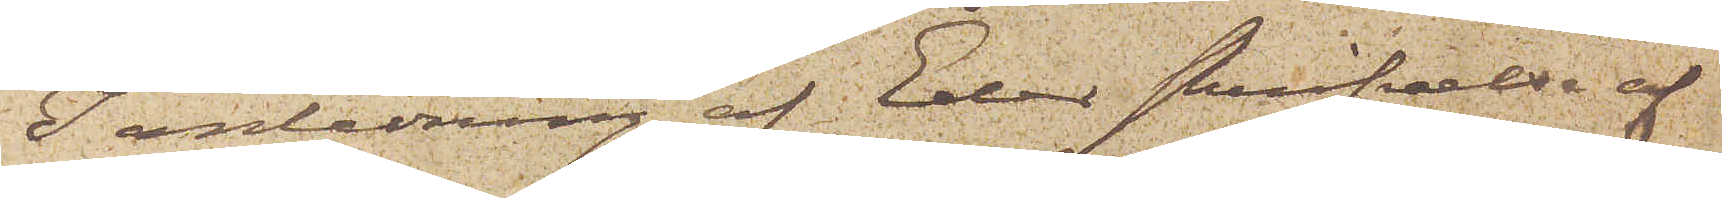I anledning af Eder skrifvelse af
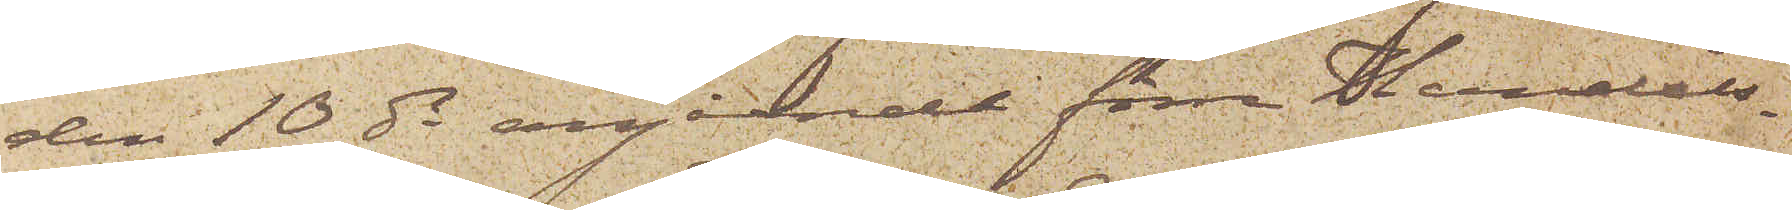den 10 ds angående förra Handels¬
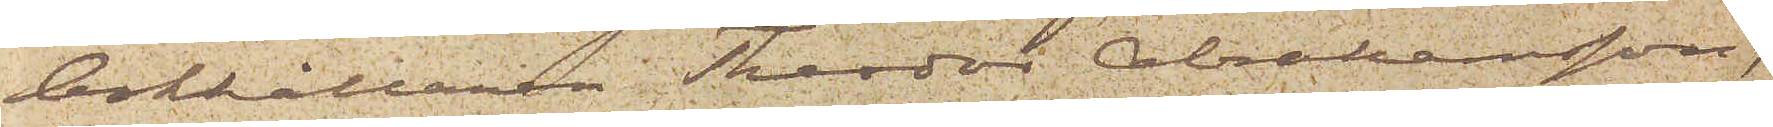bokhållaren Theodor Abrahamsson,
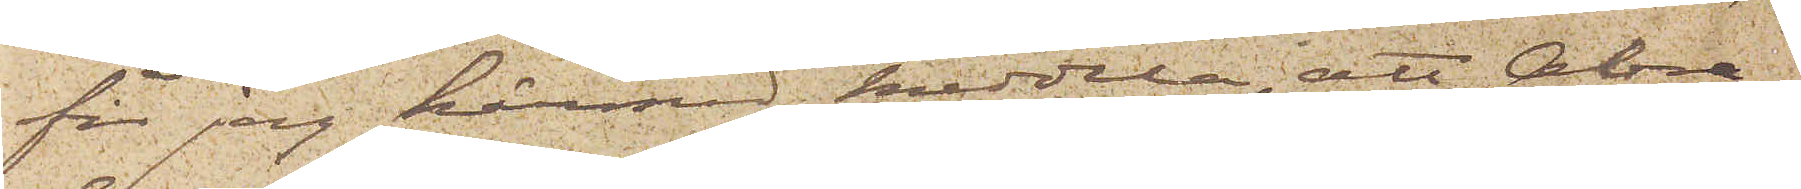får jag härmed meddela; att Abra¬
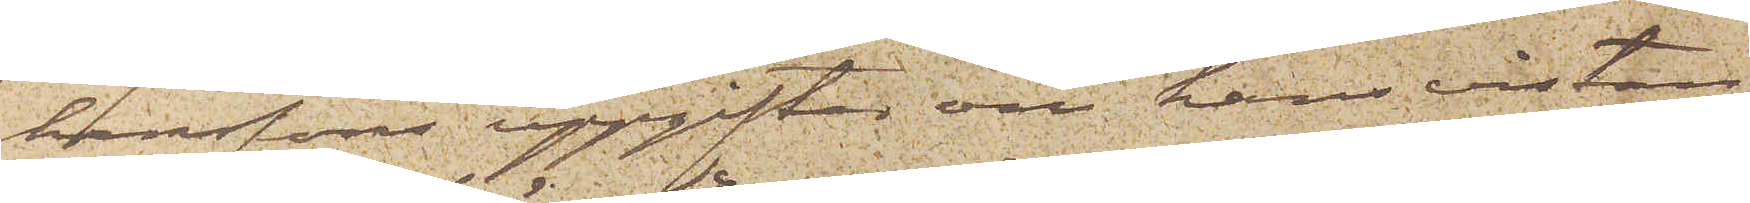hamssons uppgifter om hans vistan¬
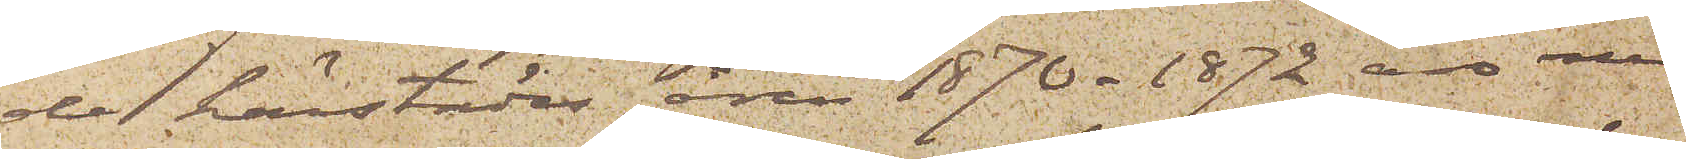de härstädes åren 1870 - 1872 äro med 
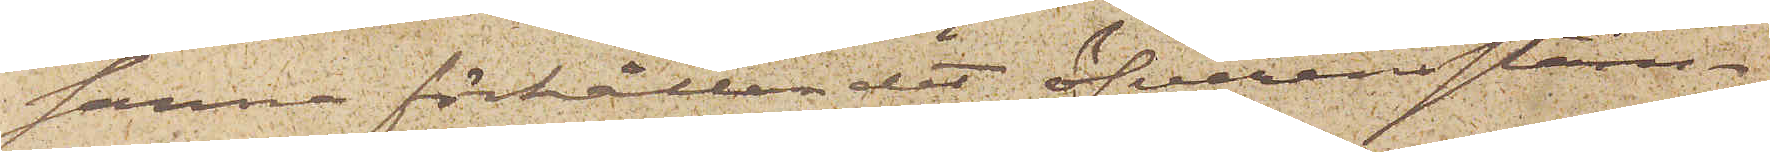sanna förhållandet öfverensstäm¬
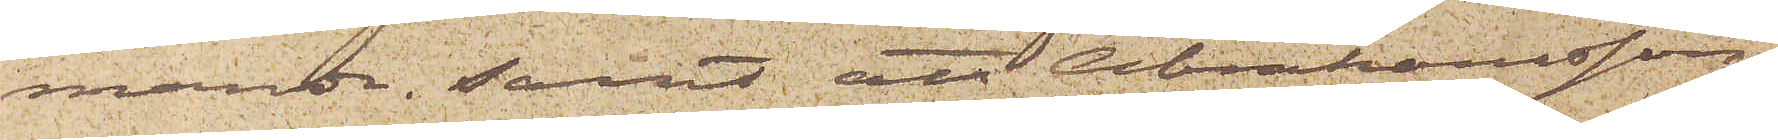mande; samt att Abrahamsson,
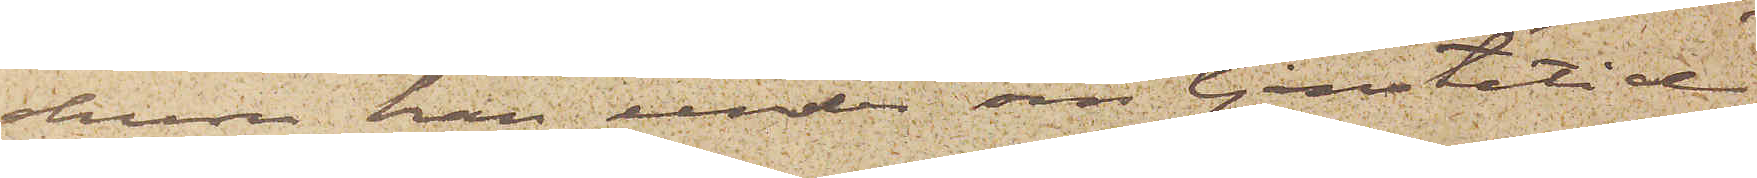ehuru han under sin tjenstetid
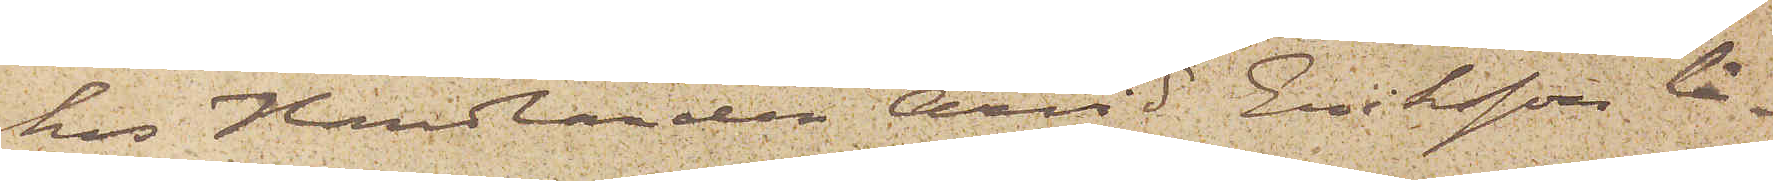hos Handlanden Arvid Eriksson lä¬
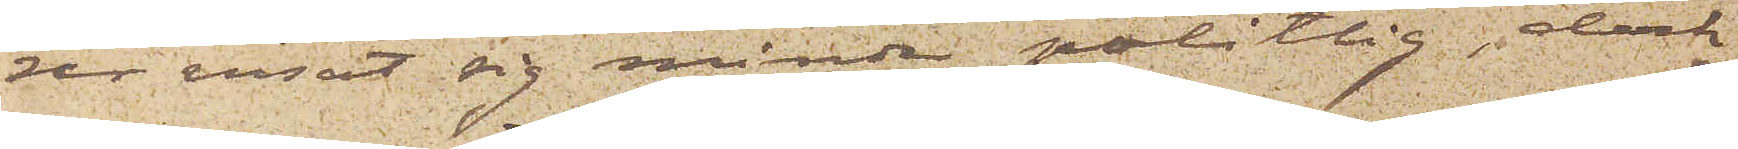rer visat sig mindre pålitlig dock
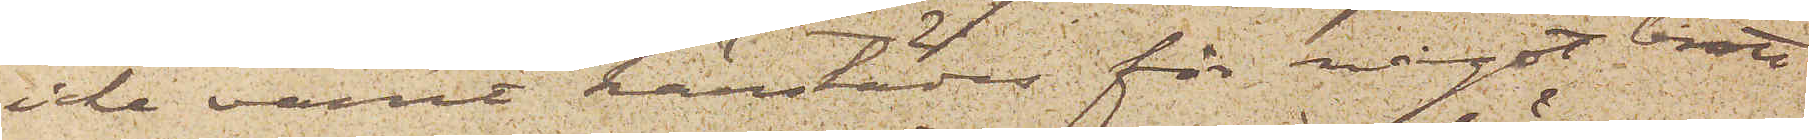icke varit härstädes för något brott
